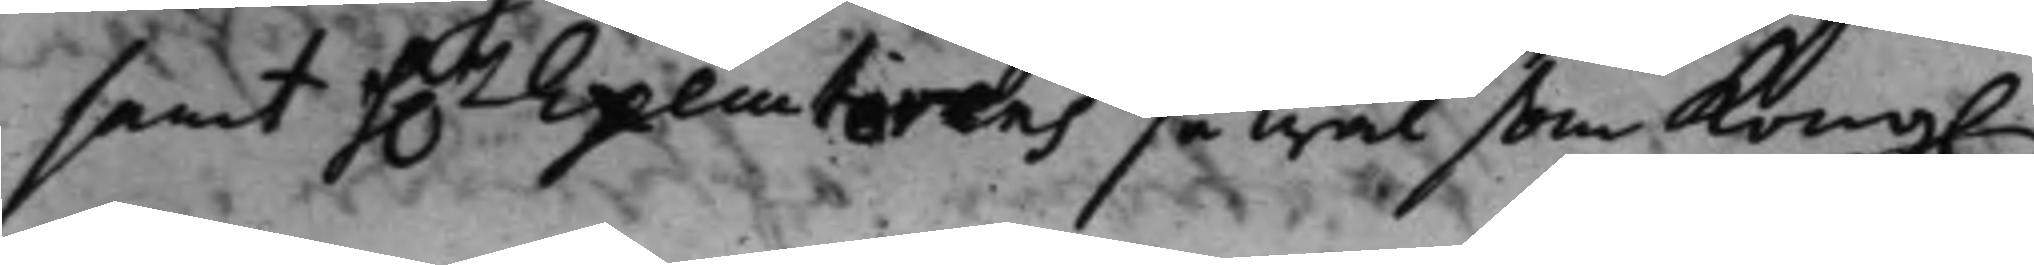samt h..r Executorens så wäl som Kong.
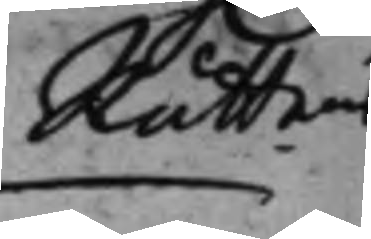Rättens
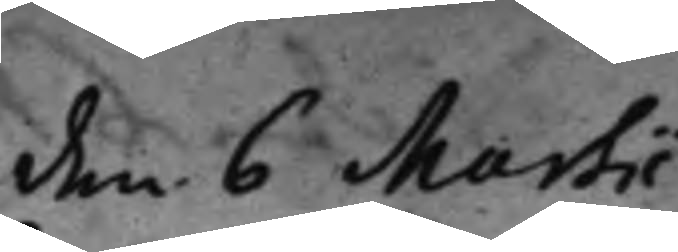den 6 Martii
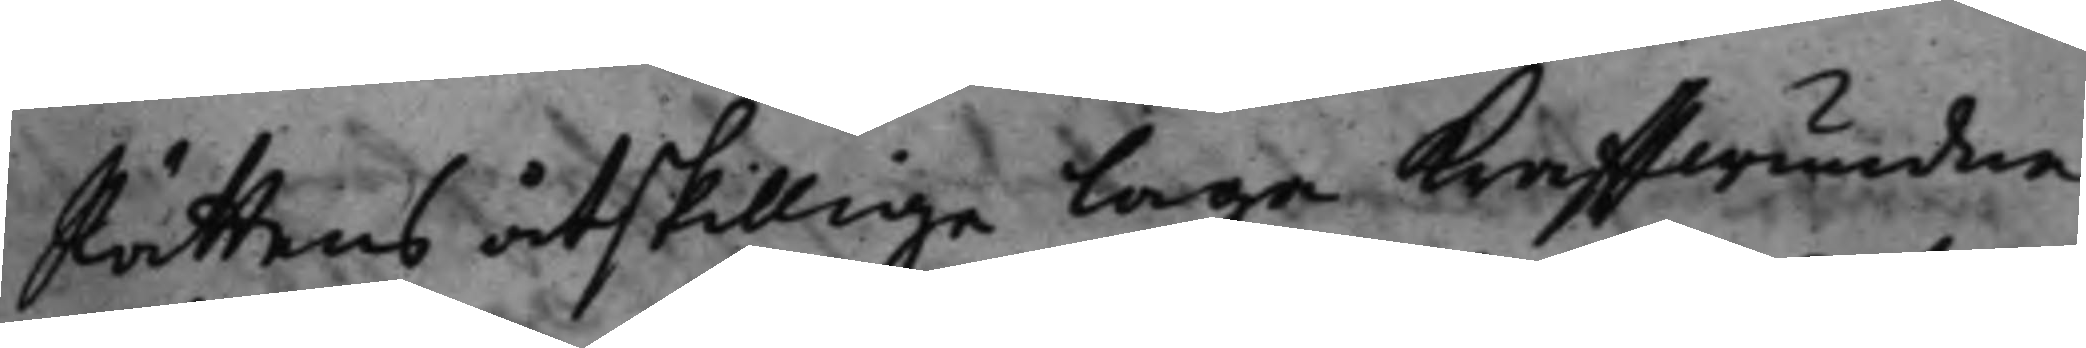Rättens åtskillige laga kraffwundna
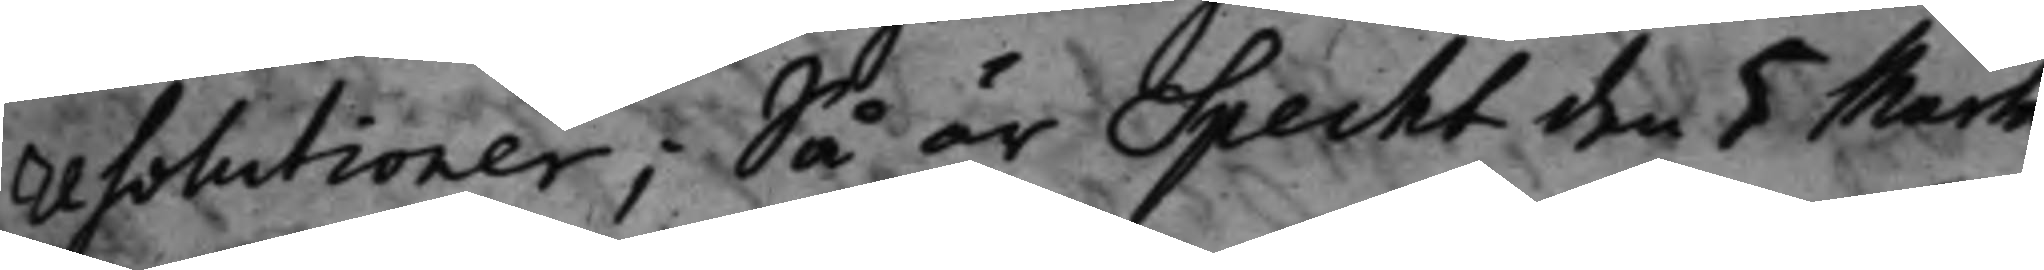resolutioner; Så är Specht den 5 Martii
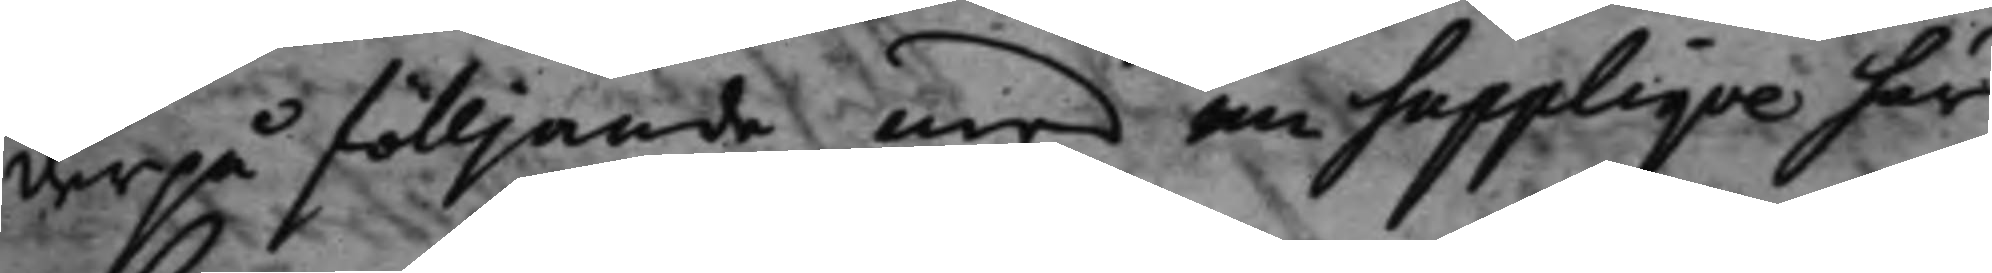derpå fölljande med en supplique här
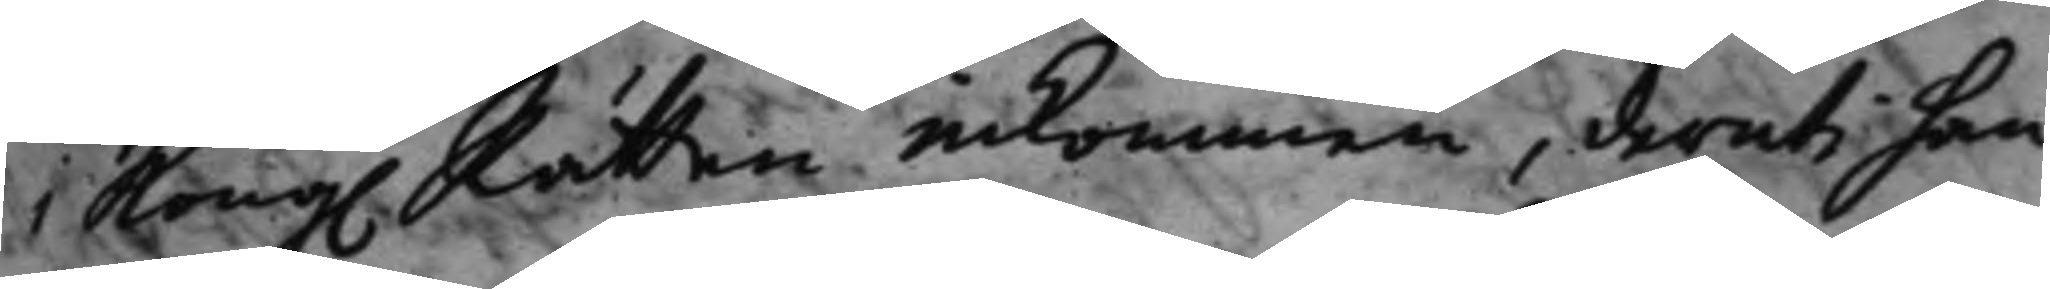i Kong. Rätten inkommen, deruti han
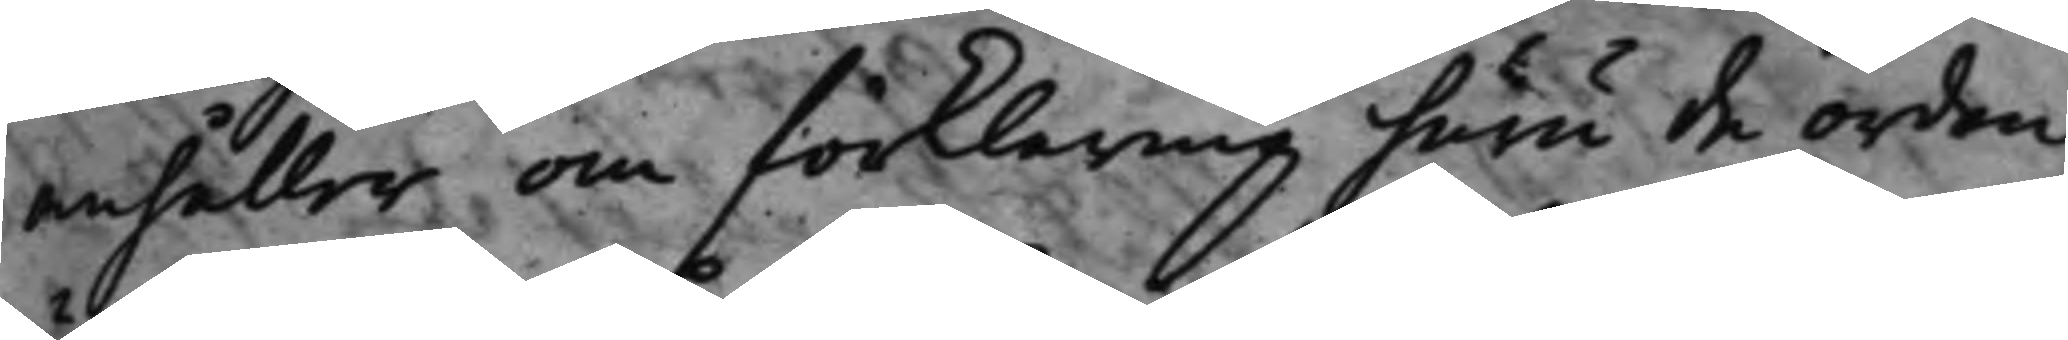anhåller om förklaring huru de orden
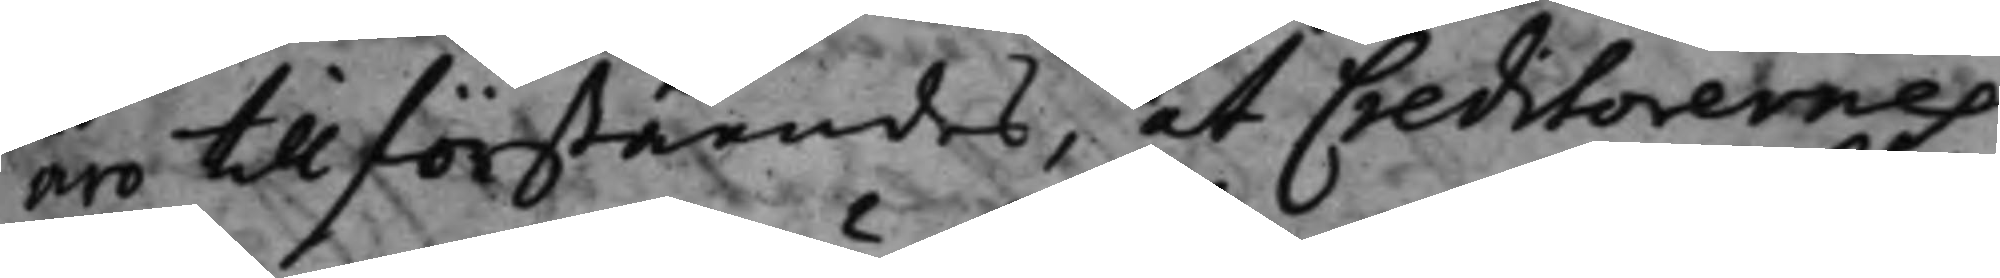äro till förståendes, at Creditorernes
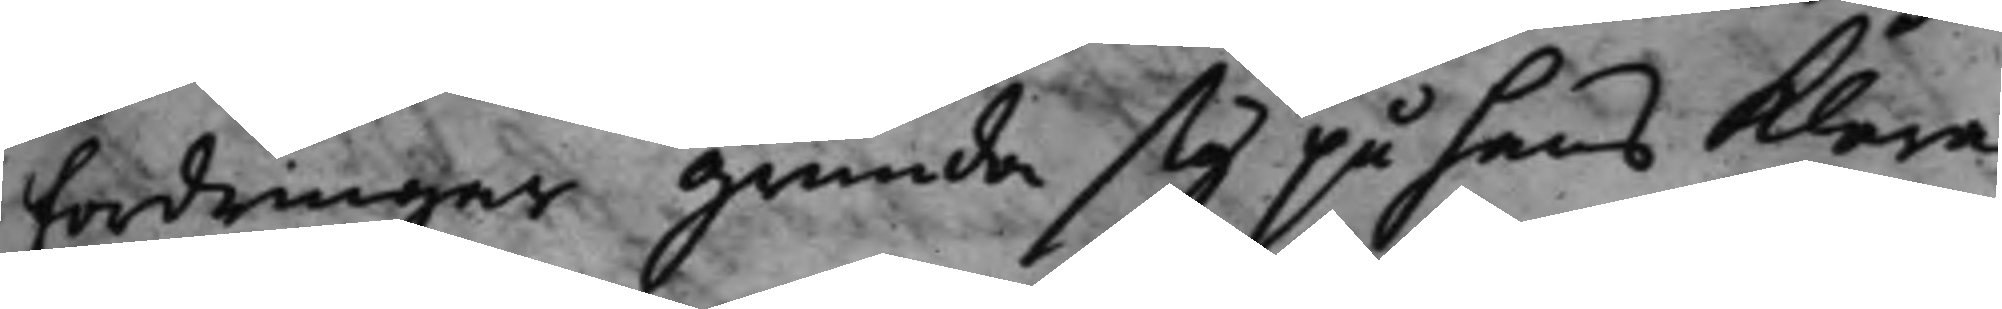fordringar grunda sig på hans klara
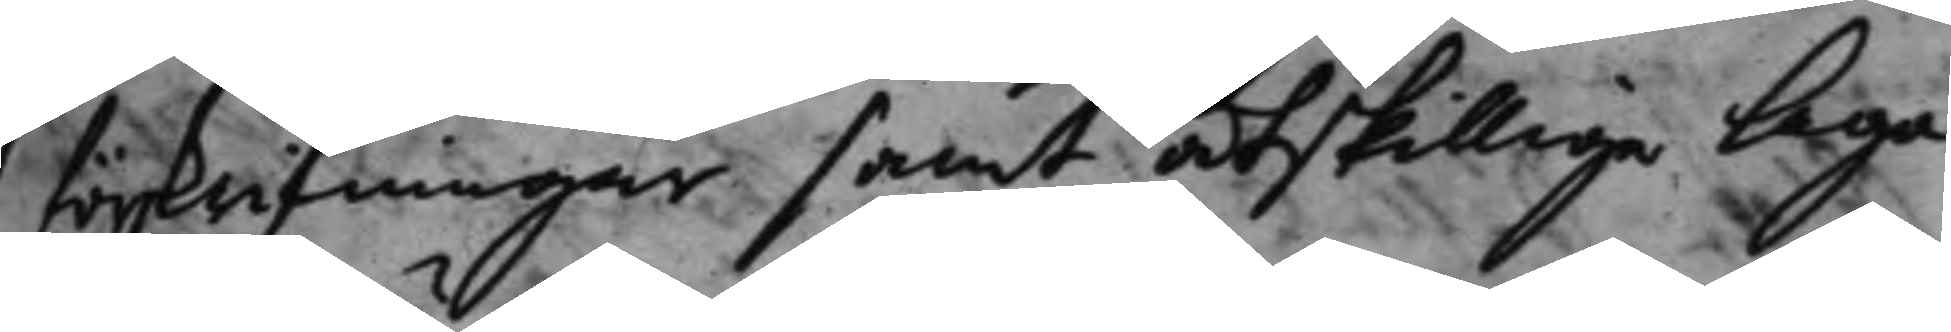förskrifningar samt åtskilliga laga
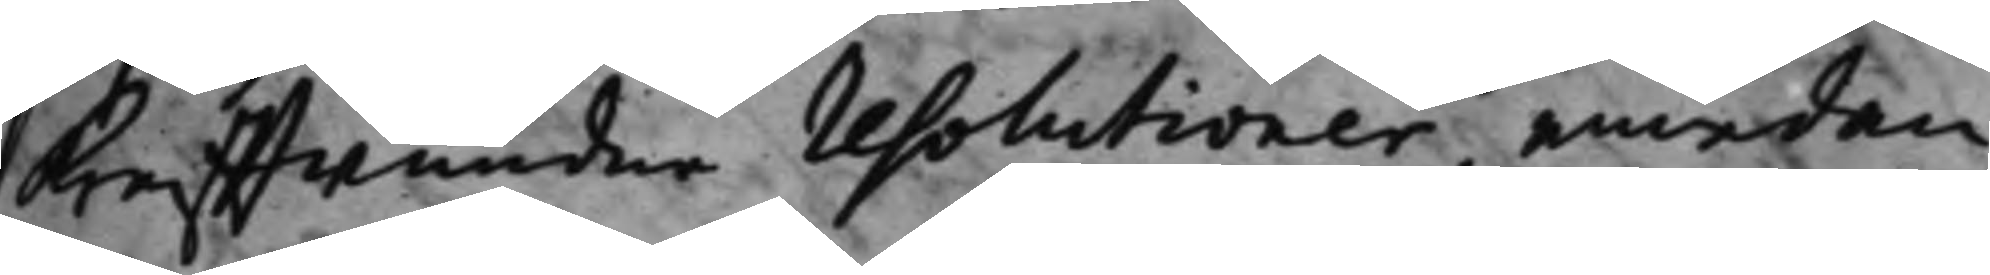kraffwundna resolutioner, emedan
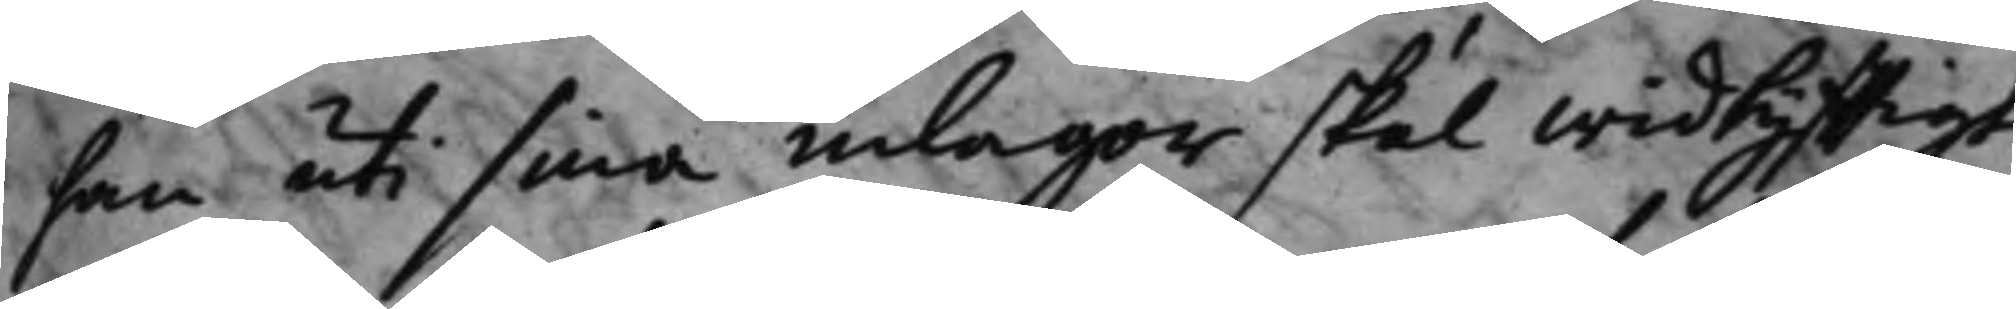han uti sina inlagor skal widlyfftigt
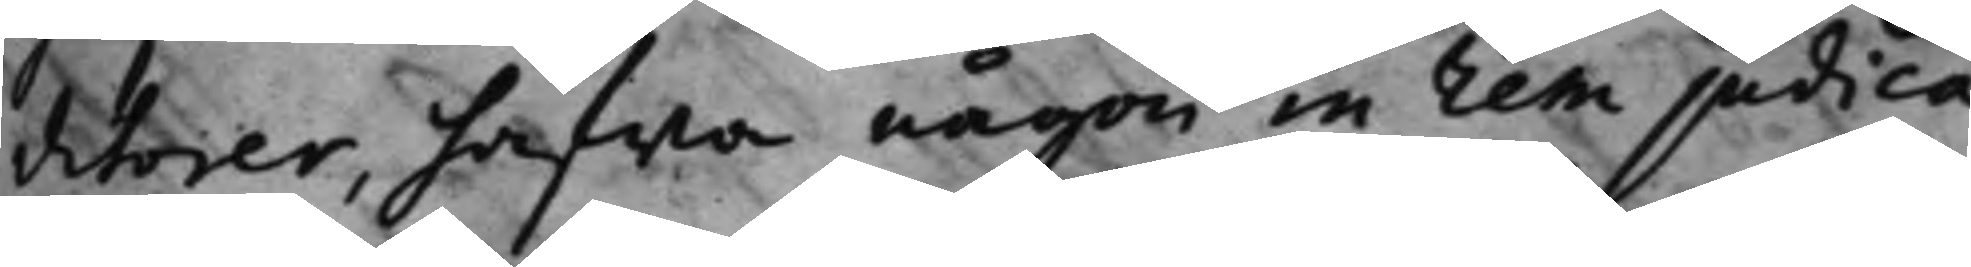ditorer, hafwa någon in rem judica¬
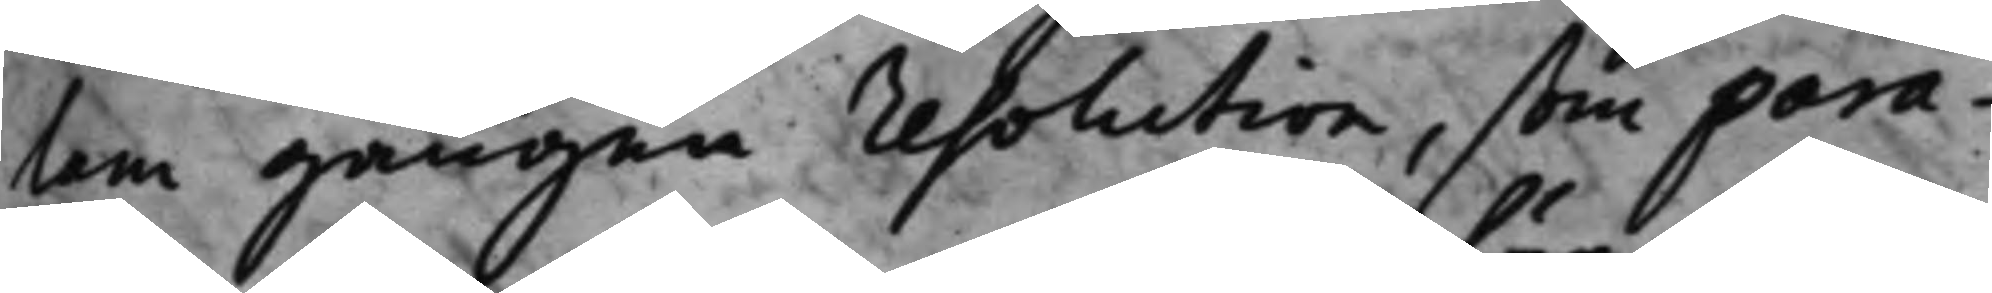tam gången resolution, som para¬
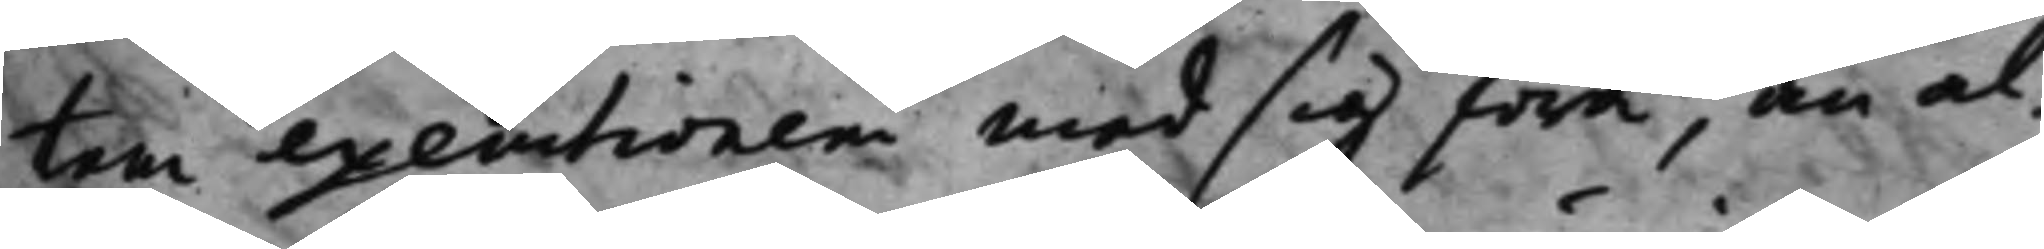tem executionem med sig föra, än al¬
